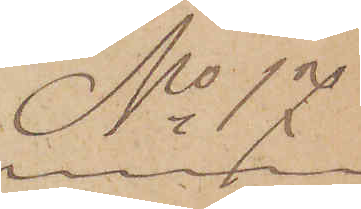No 17.
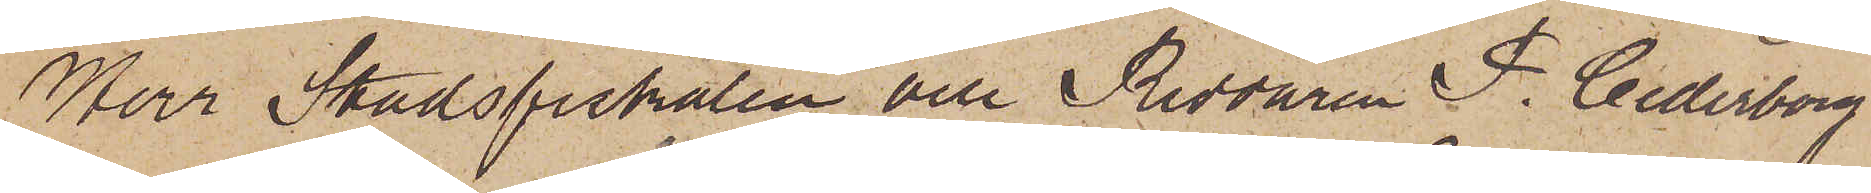Herr Stadsfiskalen och Riddaren P. Cederborg
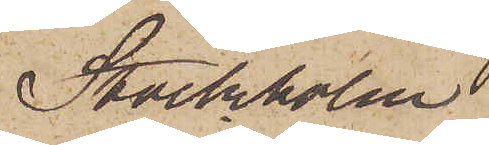Stockholm
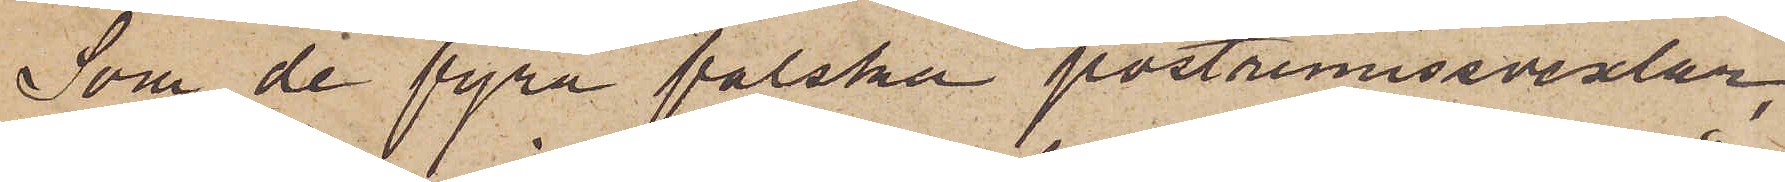Som de fyra falska postremissvexlar,
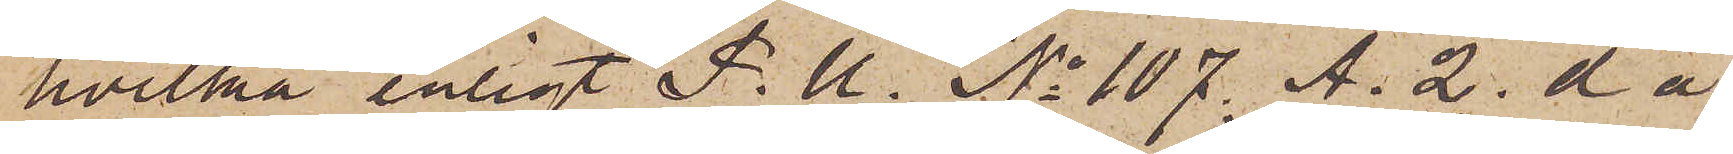hvilka enligt P.U. No 107. A. 2 d å
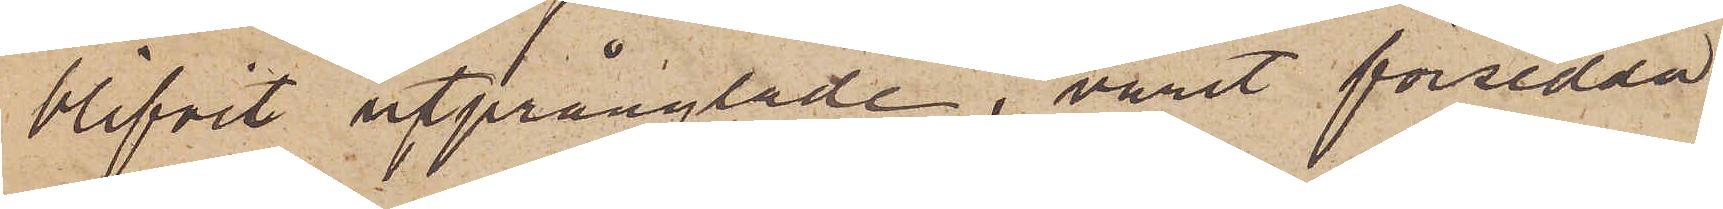blifvit utprånglade, varit försedda
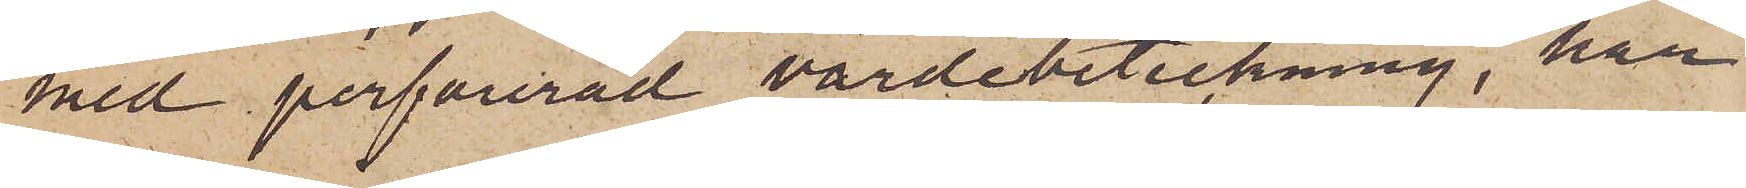med perforerad värdebeteckning, har
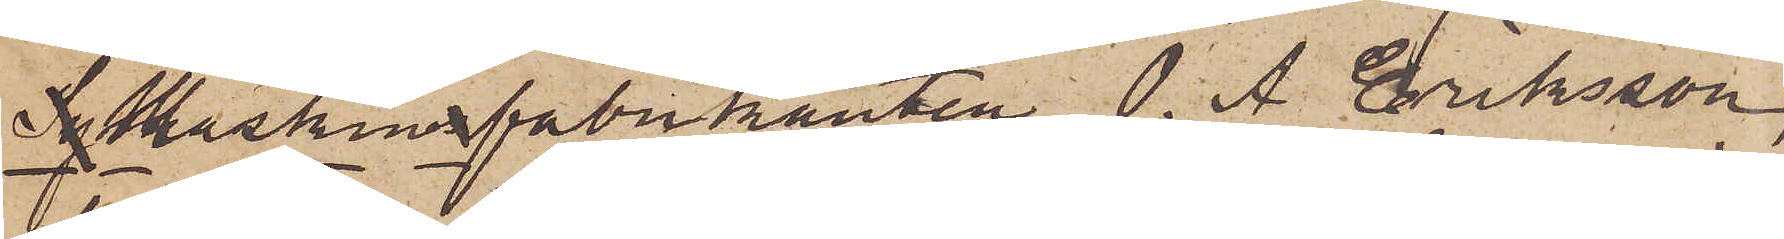Symaskinfabrikanten O. A. Eriksson,
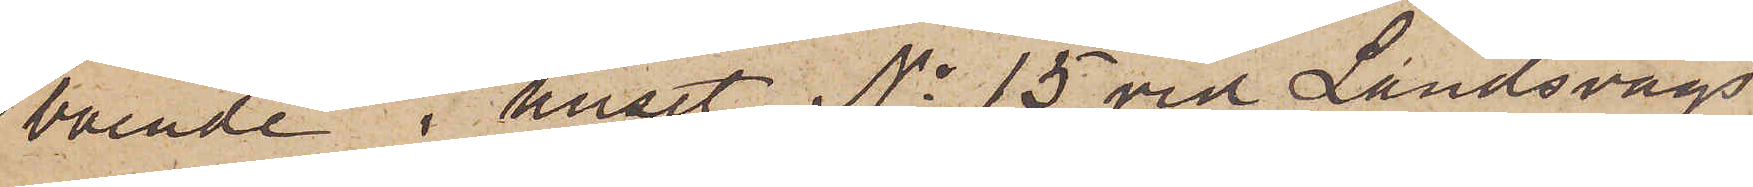boende i huset No 15 vid Landsvägs¬
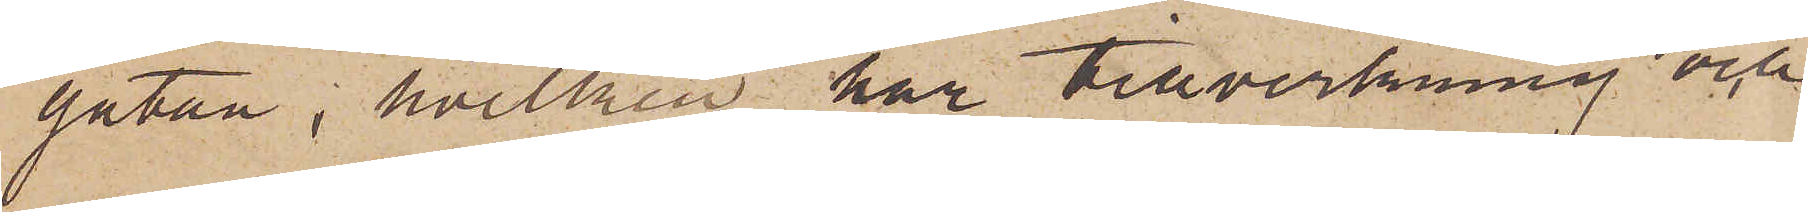gatan, hvilken har tillverkning och
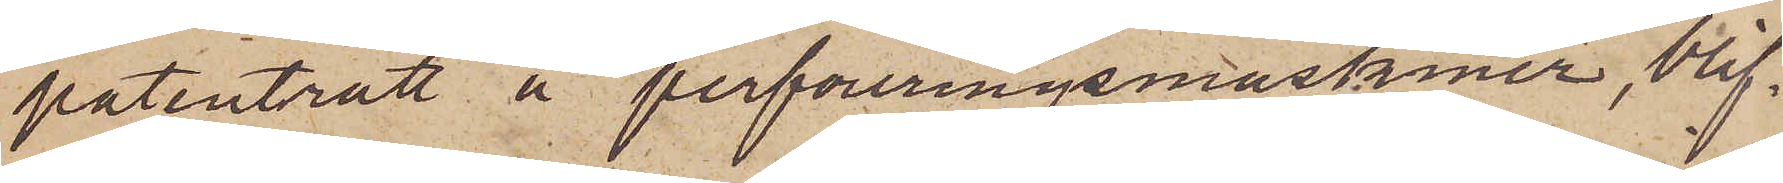patenträtt å perforeringsmaskiner, blif¬
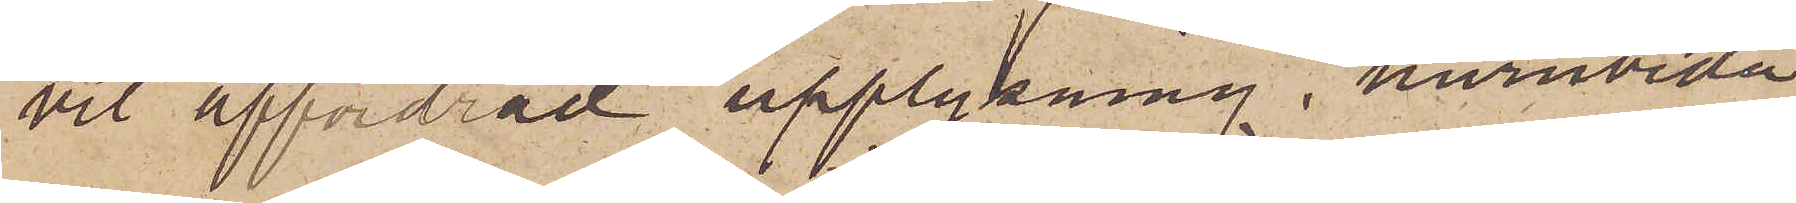vit affordrad upplysning, huruvida
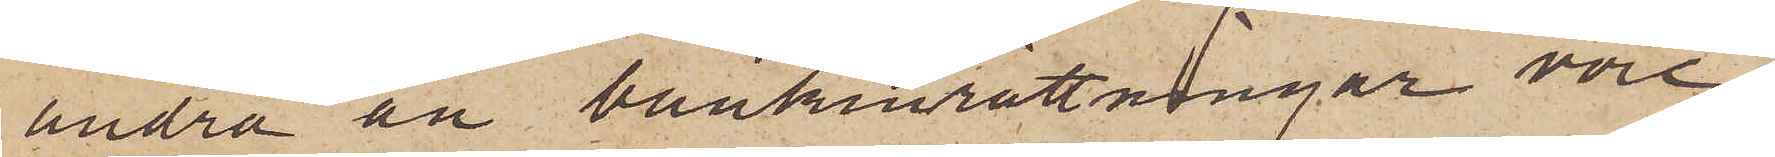andra än bankinrättningar vore
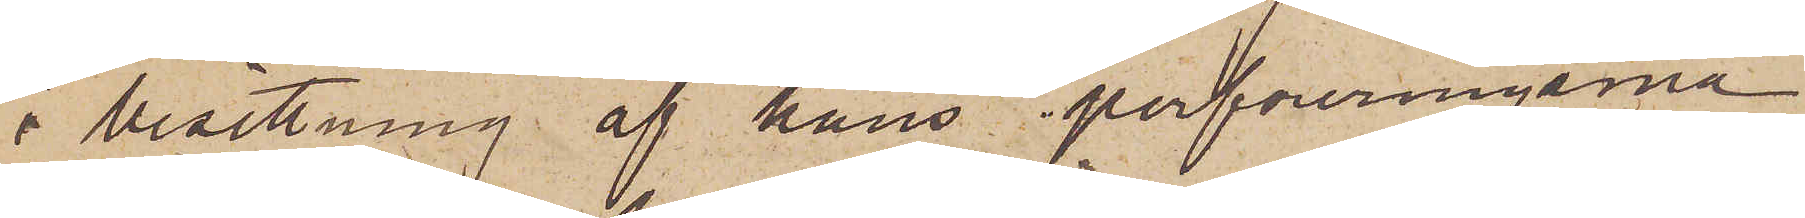i besittning af hans perforeringsma¬
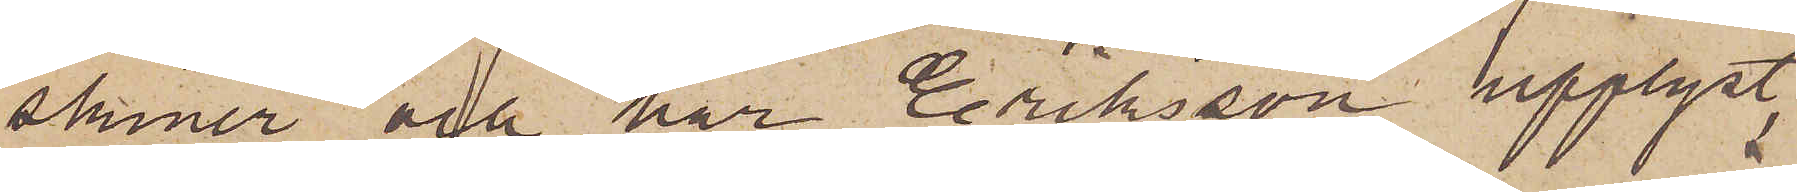skiner och har Eriksson upplyst,
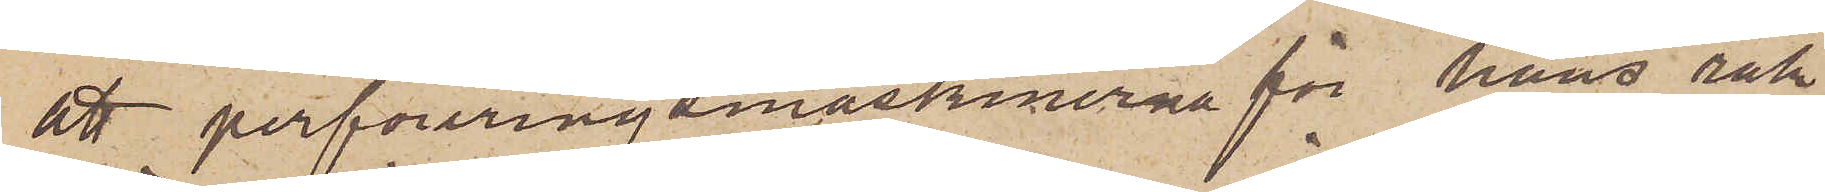att perforeringsmaskinerna för hans räk¬
